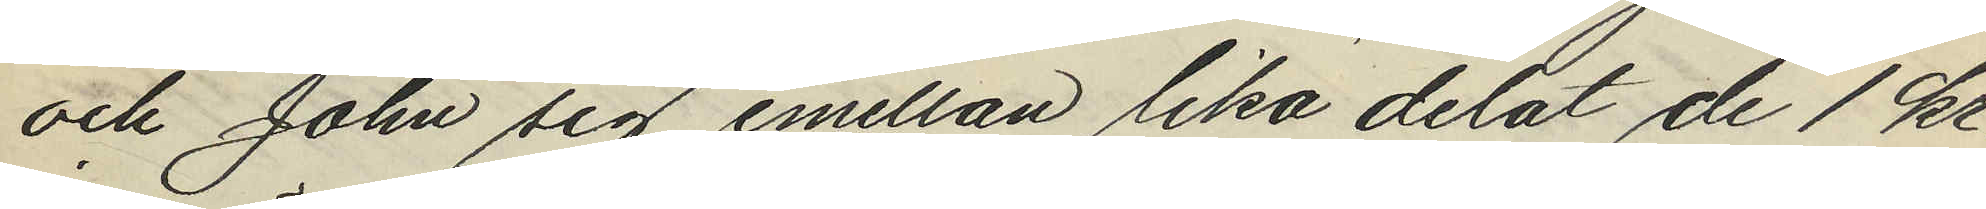och John sig emellan lika delat de 1 kr
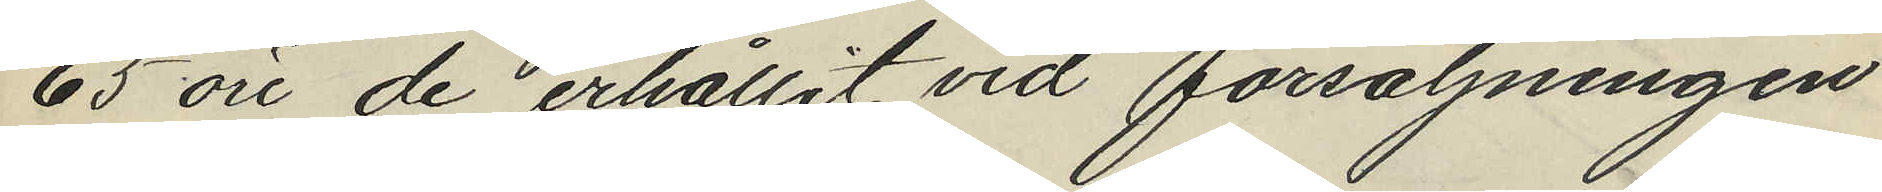65 öre de erhållit vid försäljningen
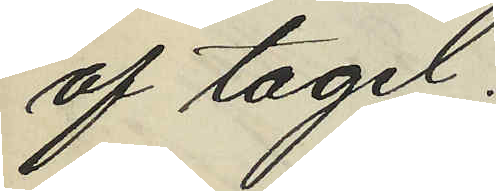af tagel.
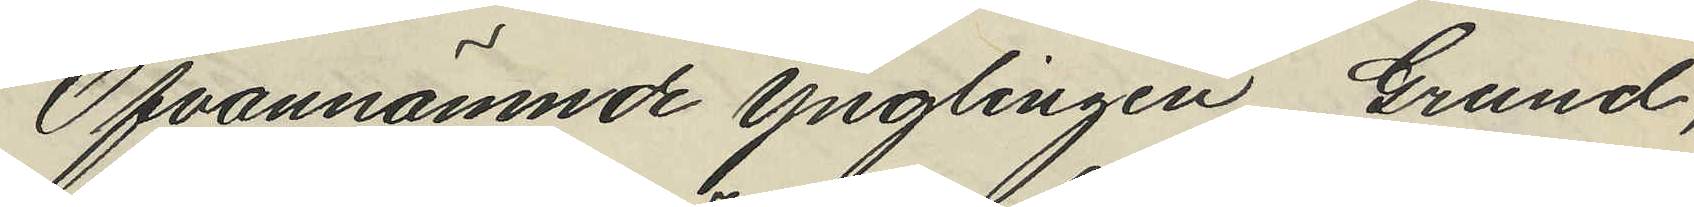Ofvannämnde ynglingen Grund,
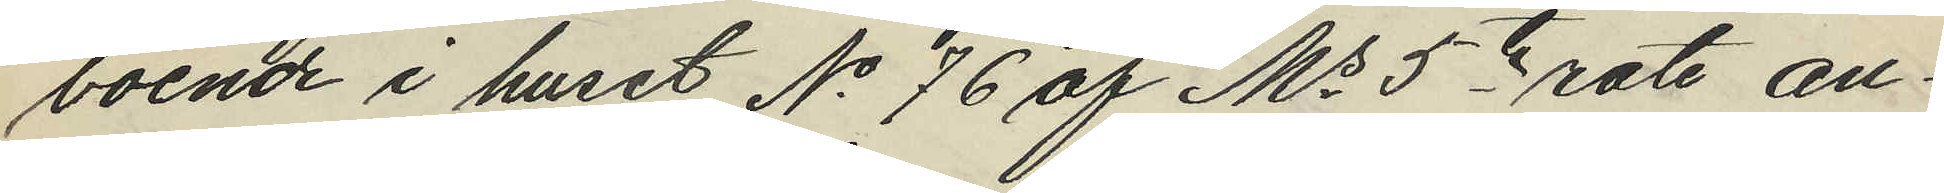boende i huset No 76 af Ms 5te rote an¬
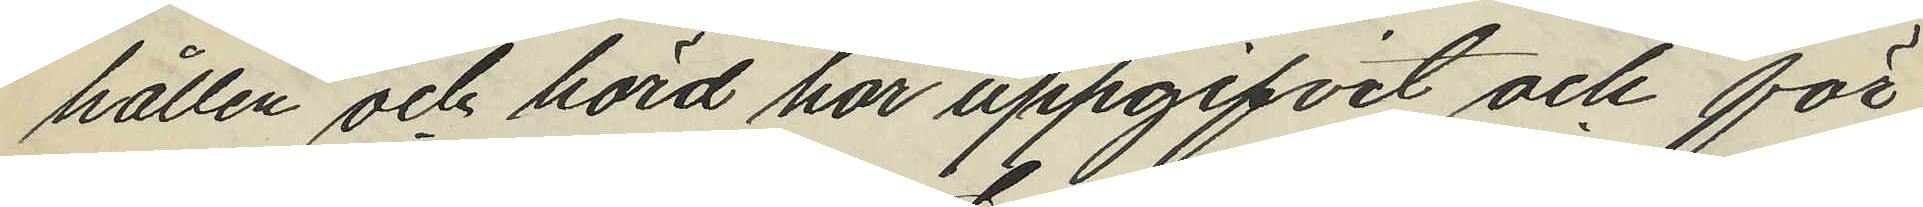hållen och hörd har uppgifvit och för
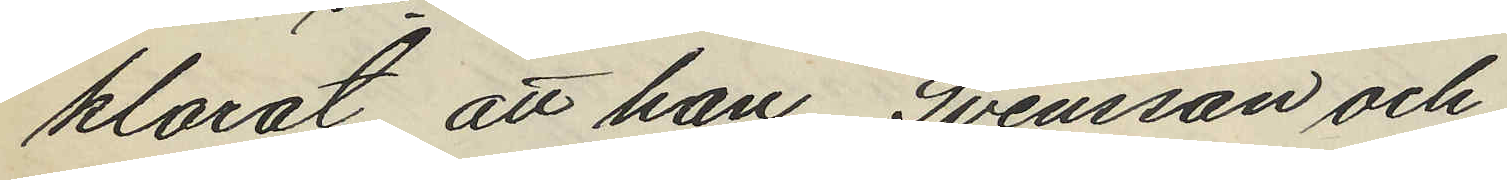klarat att han Svensson och
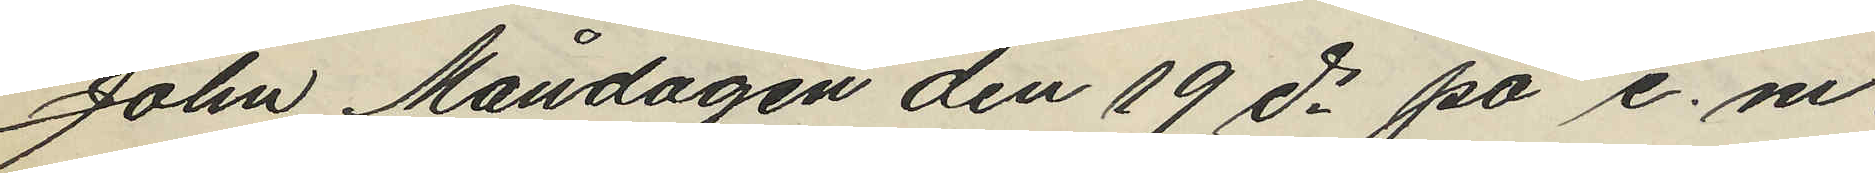John Måndagen den 19 ds på e. m.
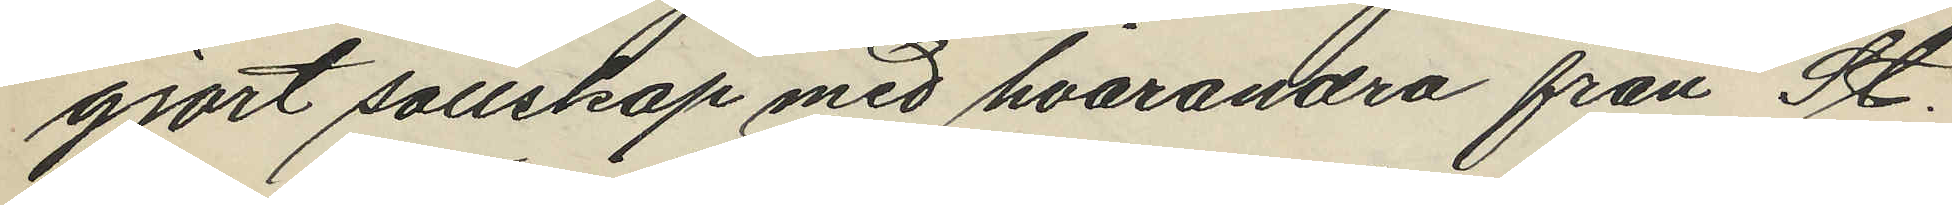gjort sällskap med hvarandra från St.
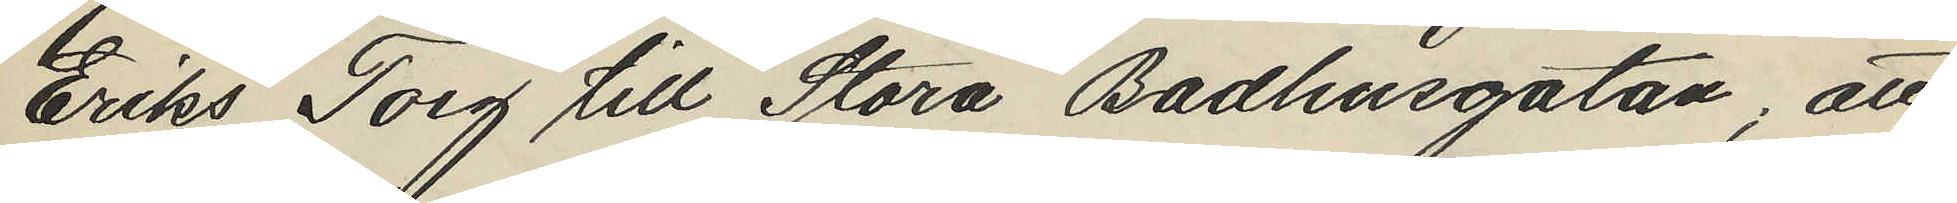Eriks Torg till Stora Badhusgatan, att
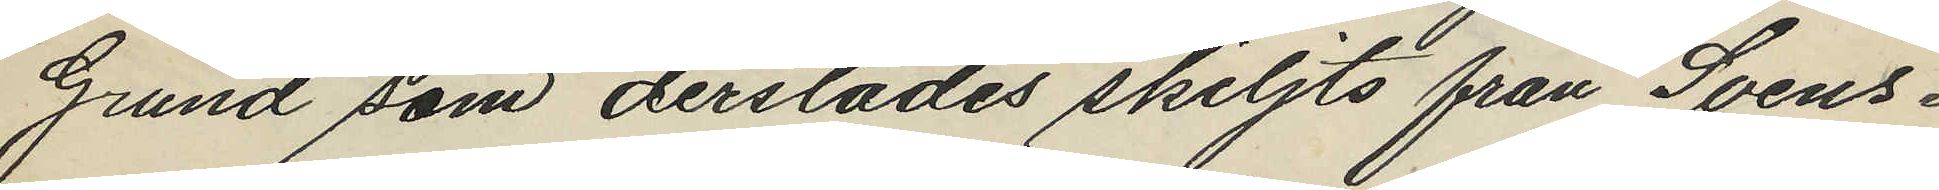Grund som derstädes skiljts från Svens¬
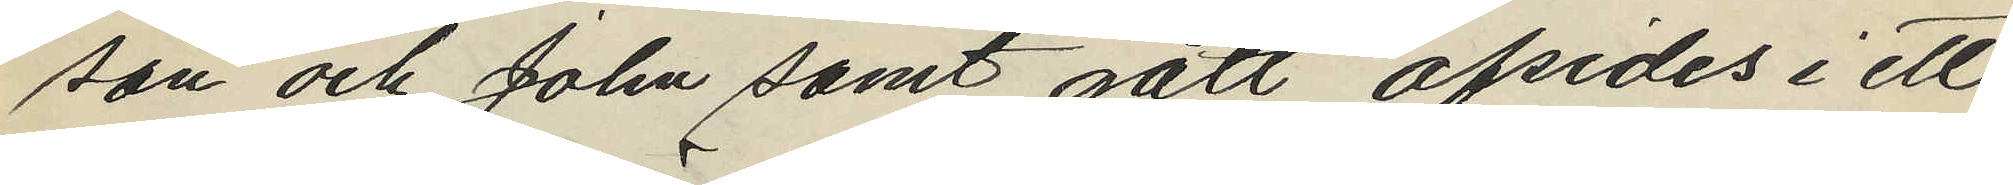son och John samt gått afsedes i ett
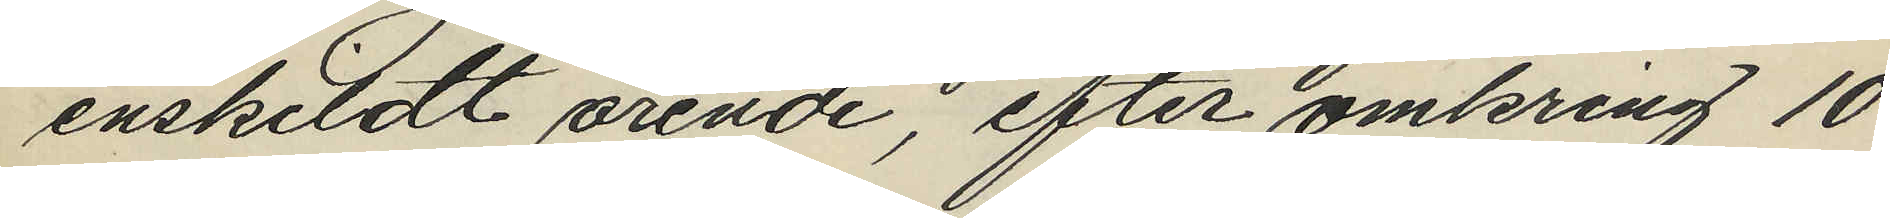enskildt ärende, efter omkring 10
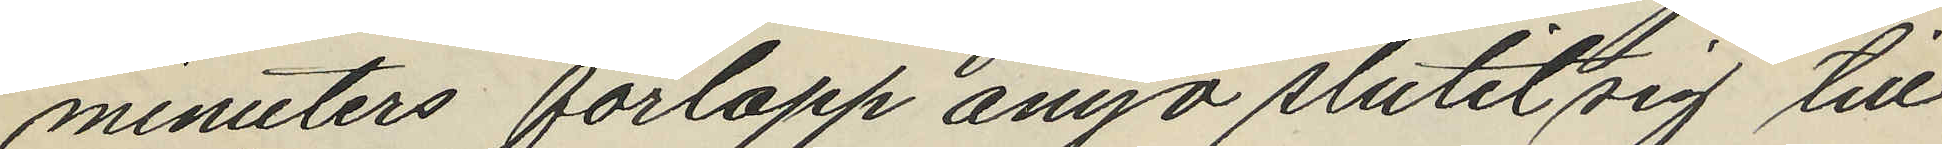minuters förlopp ånyo slutit sig till
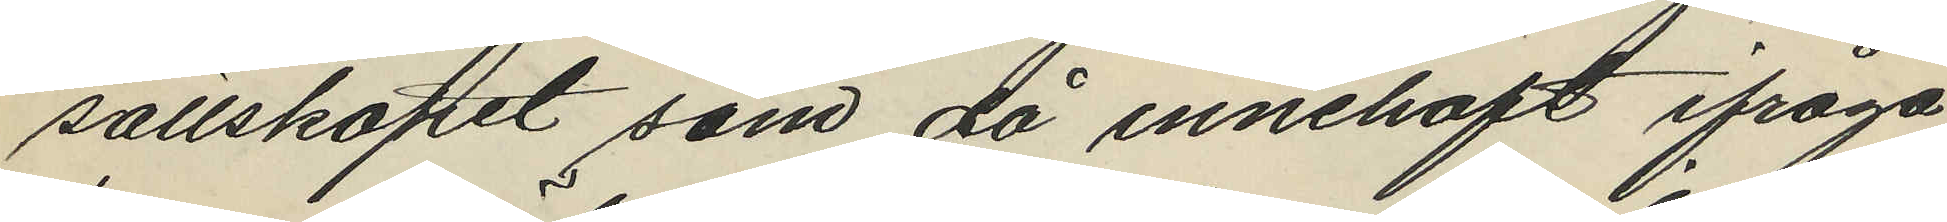sällskapet som då innehaft ifråga¬
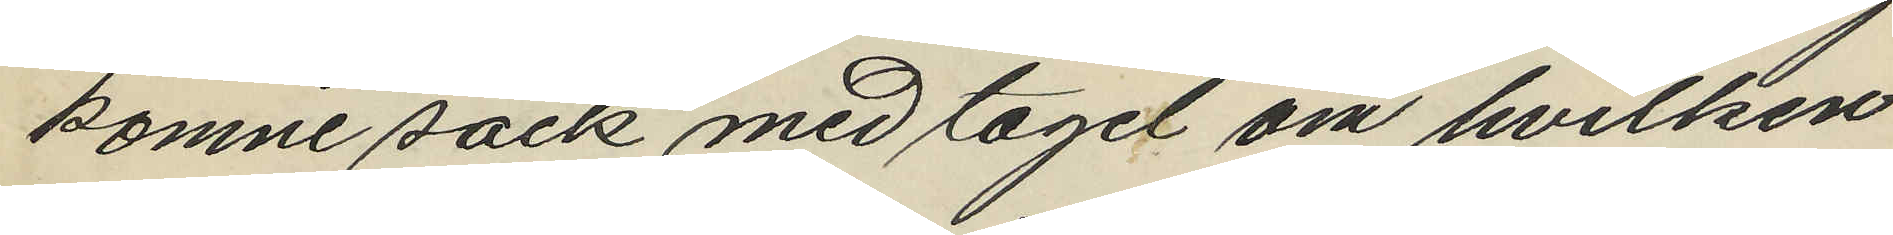komne säck med tagel om hvilken
